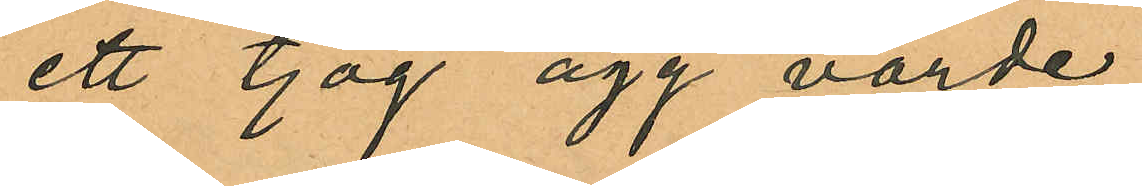ett tjog ägg värde
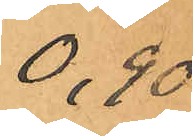0,90
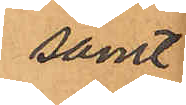samt
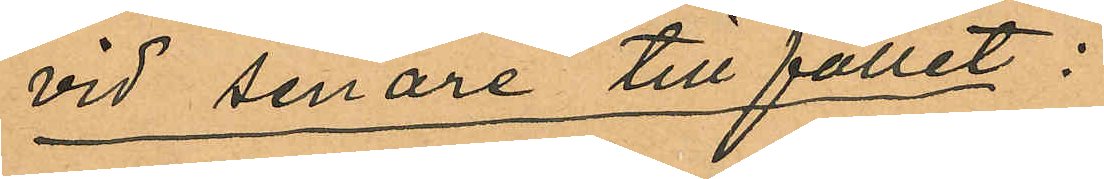vid senare tillfället:
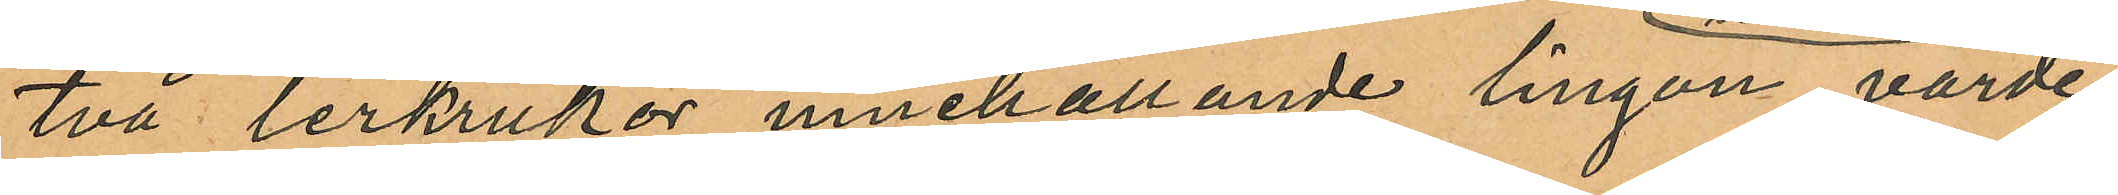två lerkrukor innehållande lingon, värde
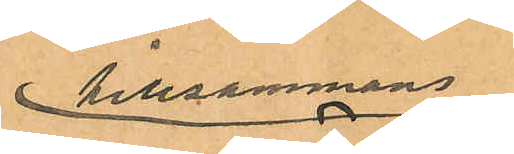tillsammans
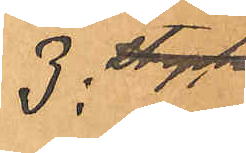3: och
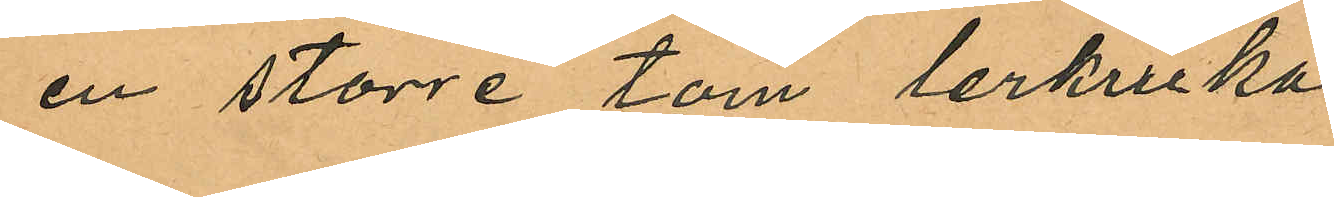en större tom lerkruka
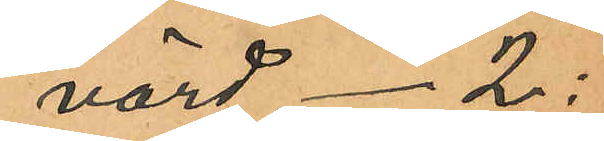värd  2:
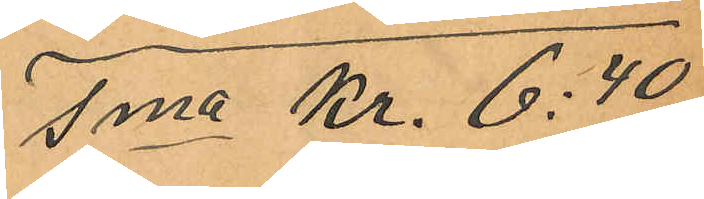Sma Kr. 6:40
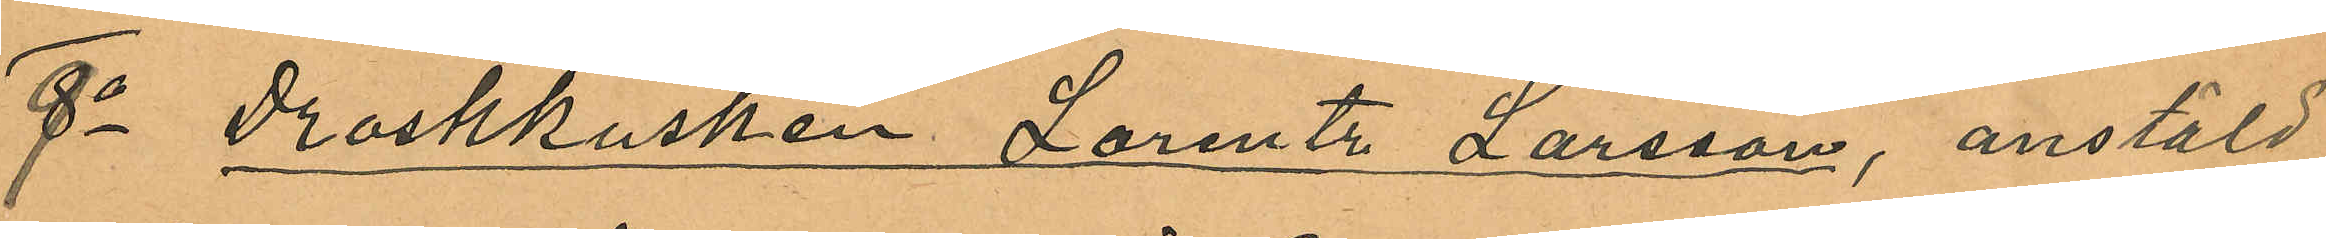9o Droskkusken Lorentz Larsson, anstäld
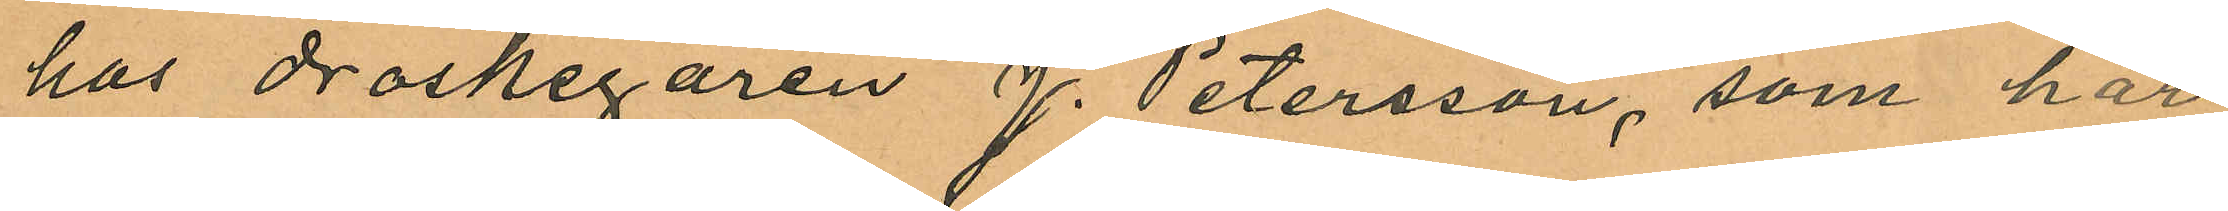hos droskegaren J. Petersson, som har
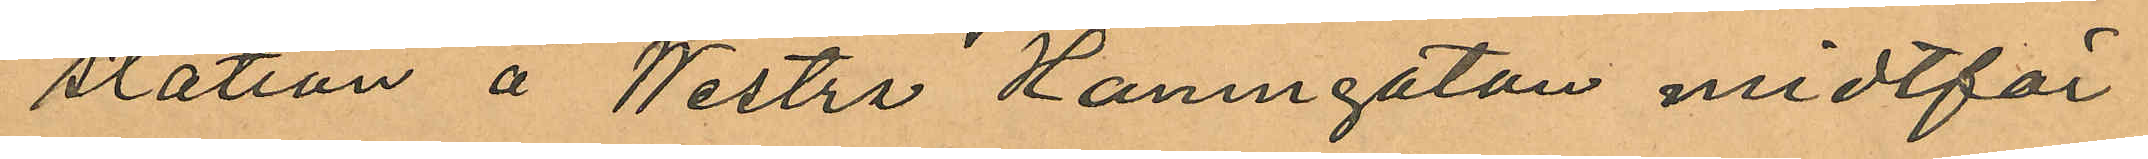station å Westra Hamngatan midtför
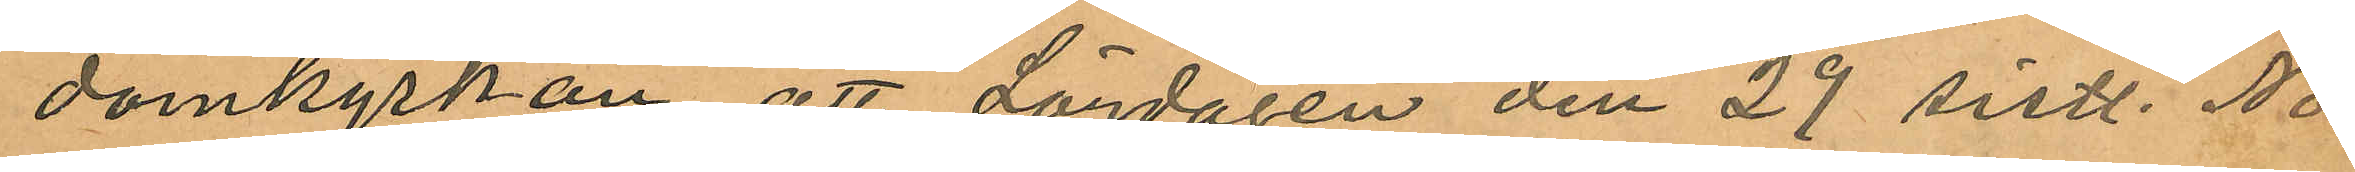domkyrkan att Lördagen den 29 sistl. No¬
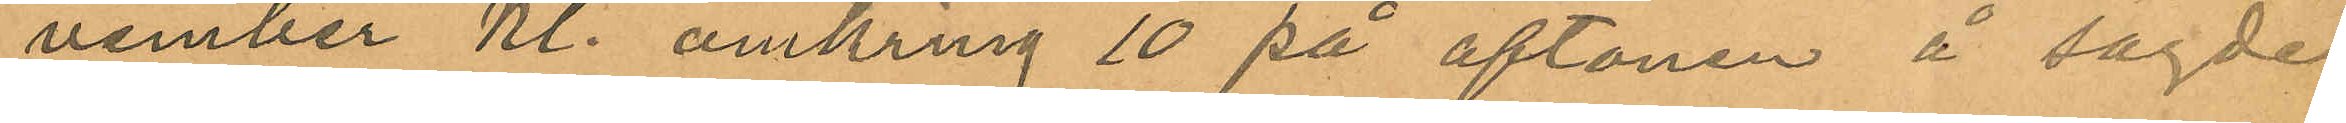vember Kl. omkring 10 på aftonen å sagde
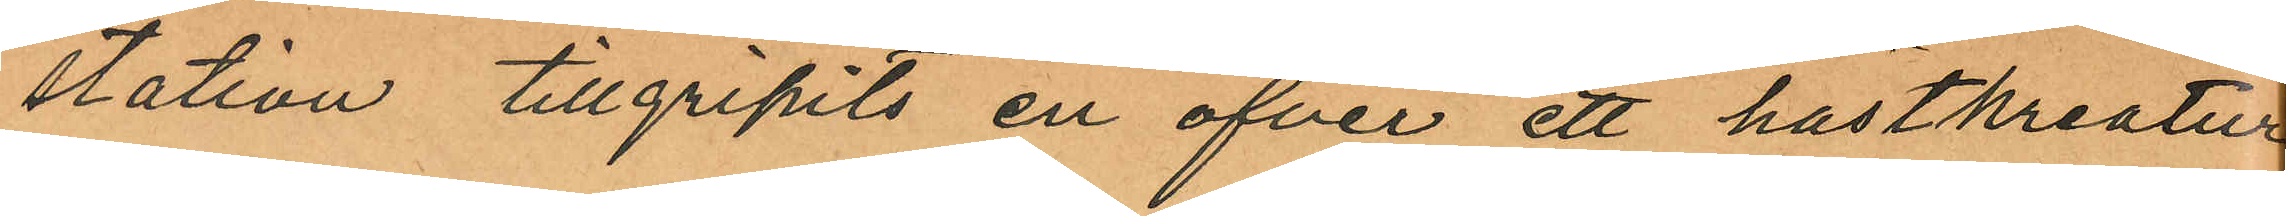station tillgripits en öfver ett hästkreatur
